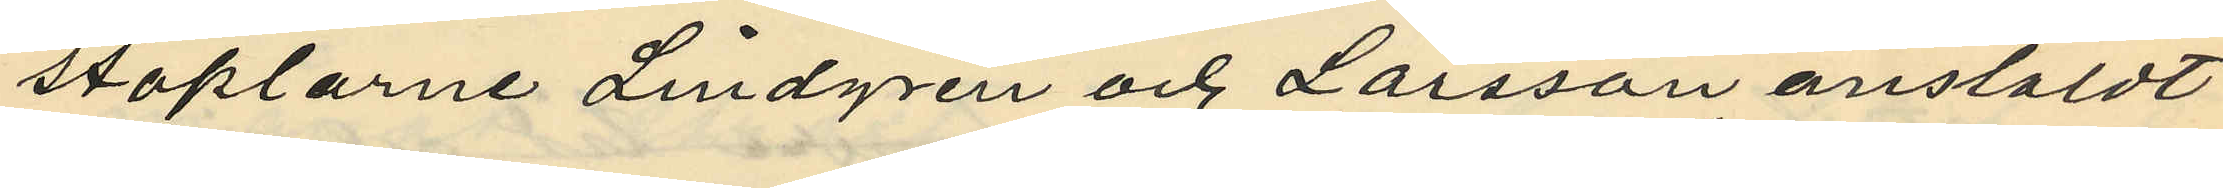staplarne Lindgren och Larsson anstäldt
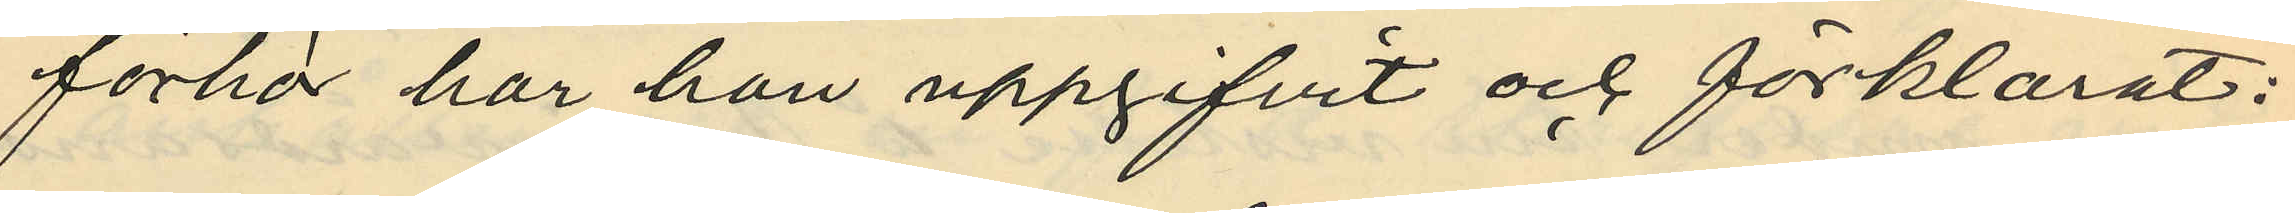förhör har han uppgifvit och förklarat:
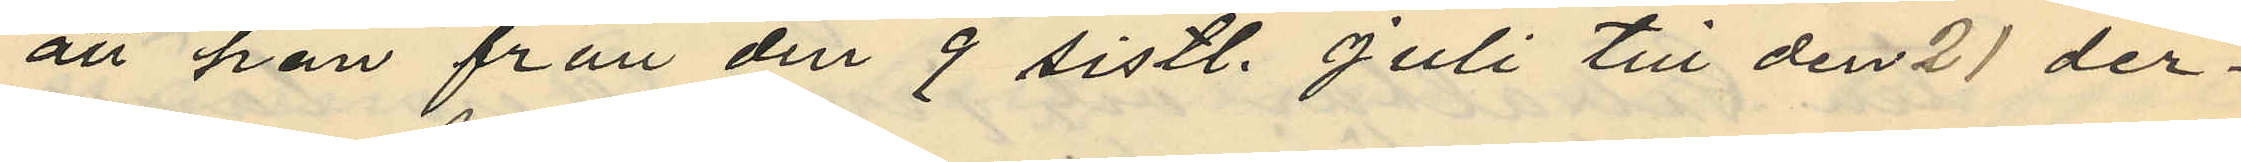att han från den 9 sistl. Juli till den 21 der¬
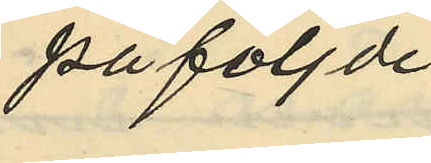påföljde
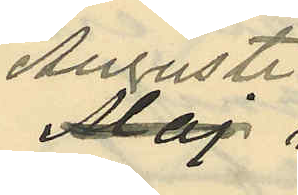Augusti
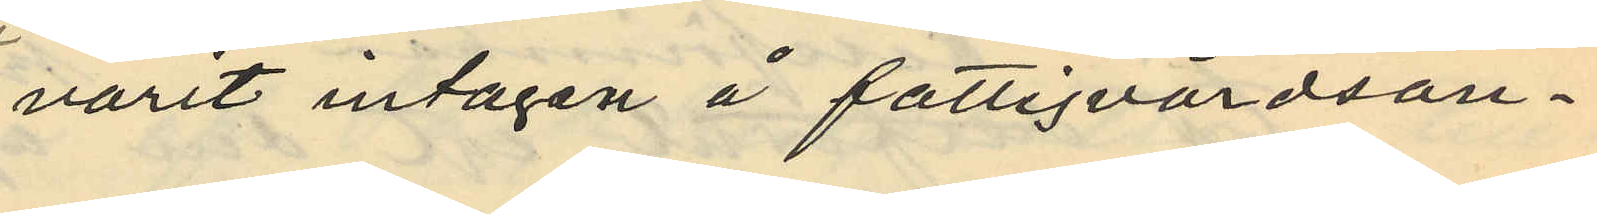varit intagan å fattigvårdsan¬
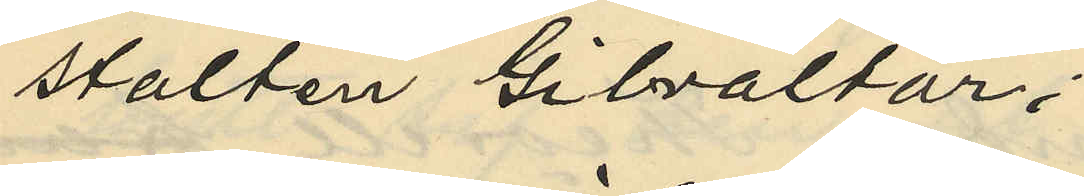stalten Gibraltar;
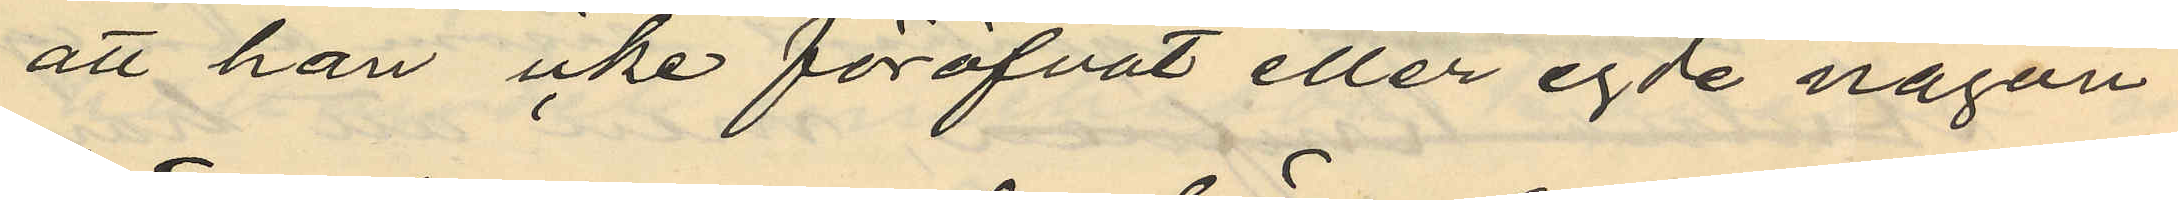att han icke föröfvat eller egde någon
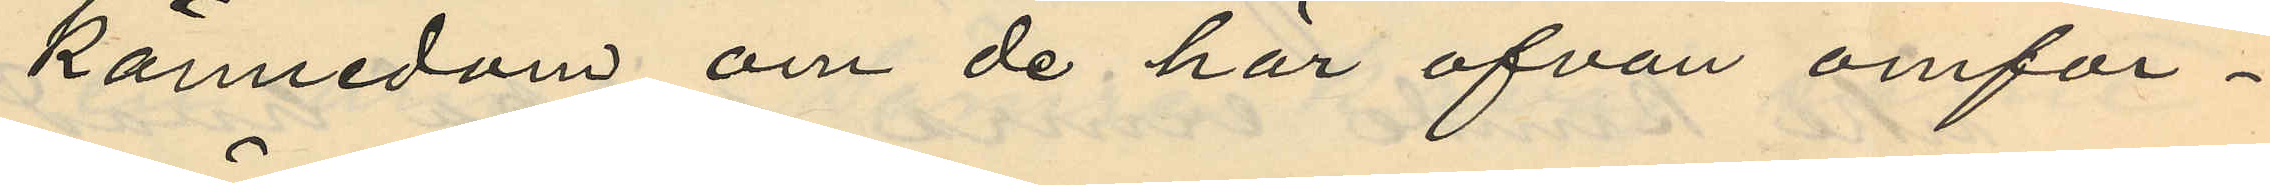kännedom om de har ofvan omför¬
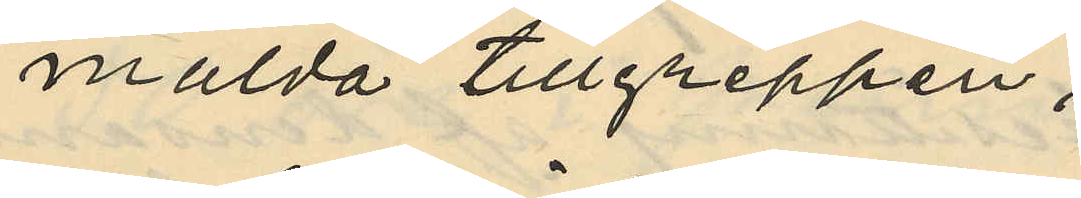mälda tillgreppen;
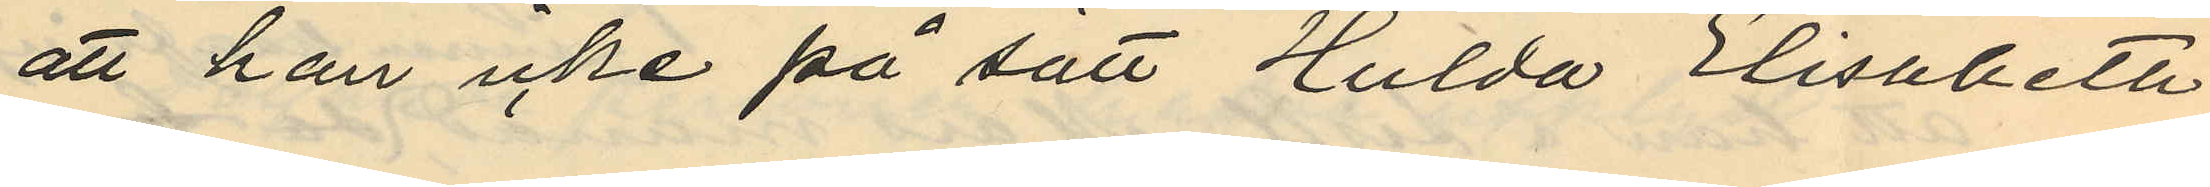att han icke på sätt Hulda Elisabeth
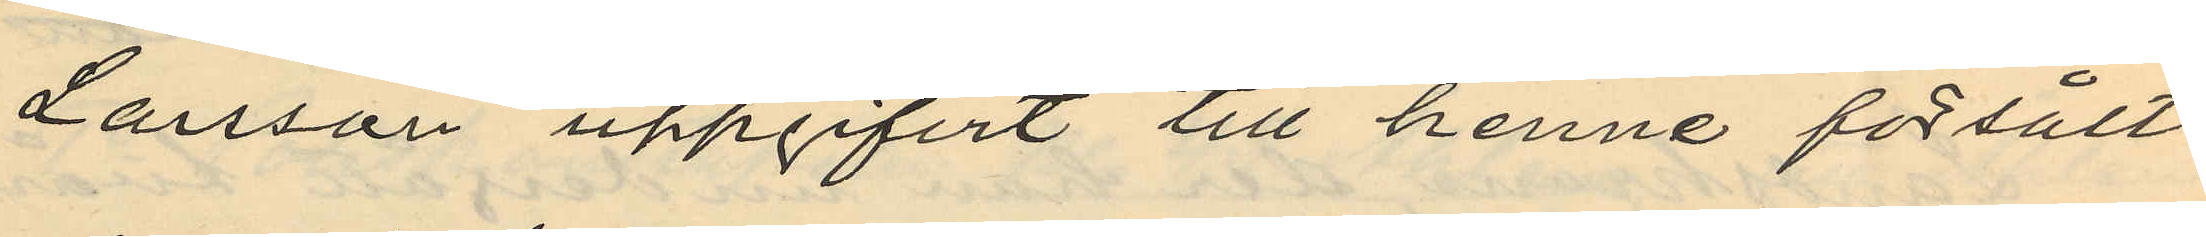Larsson uppgifvit till henne försålt
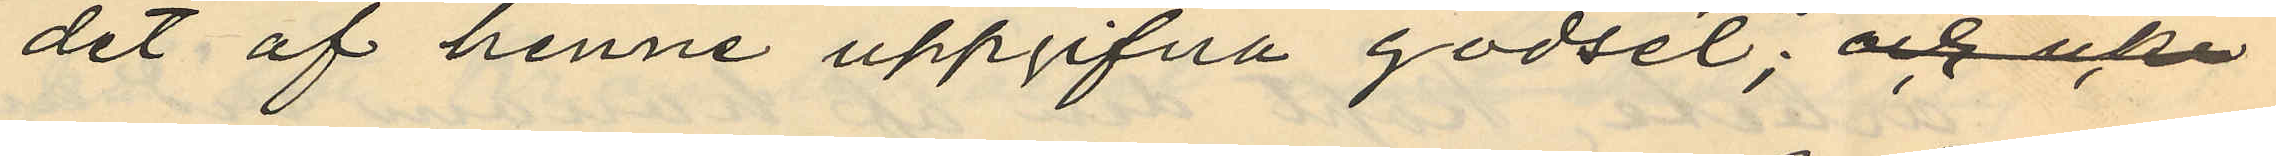det af henne uppgifna godset; 
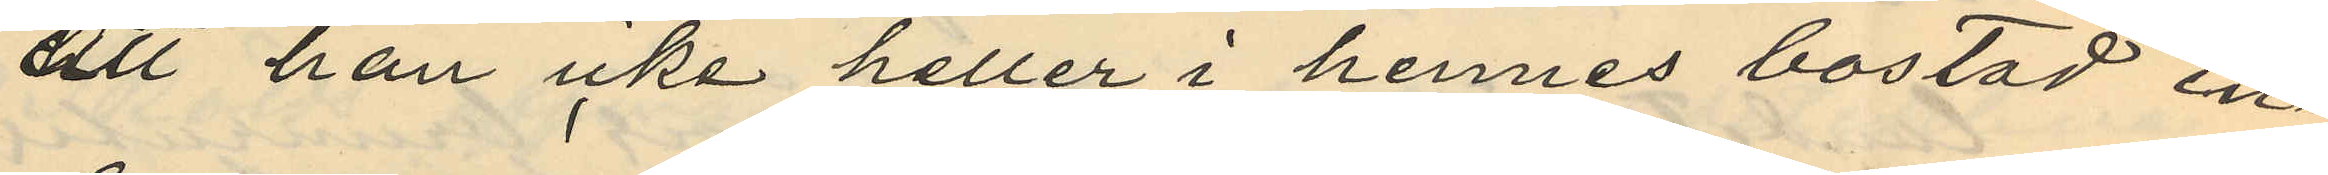att han icke heller i hennes bostad in¬
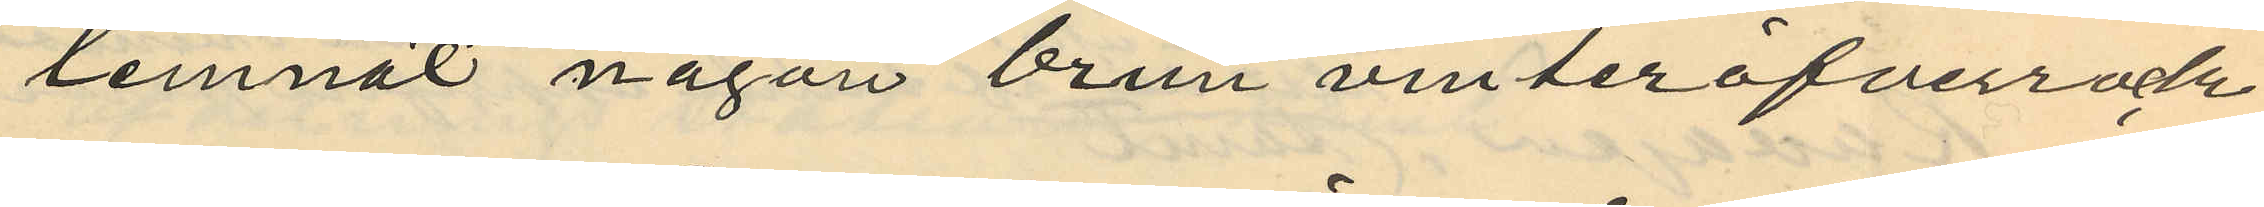lemnat någon brun vinteröfverrock
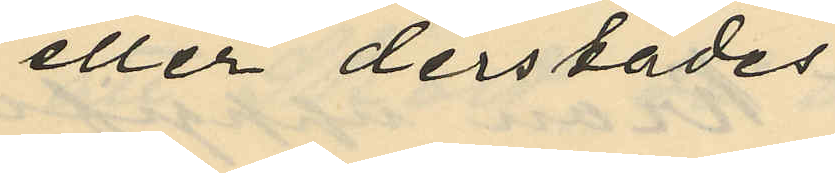eller derstädes
